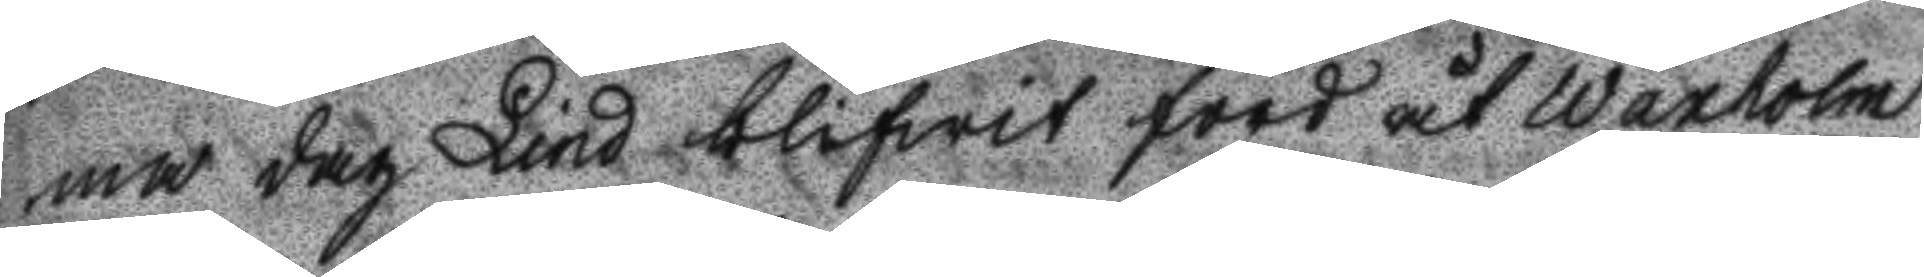ma dag Lind blifwit förd åt Waxholm
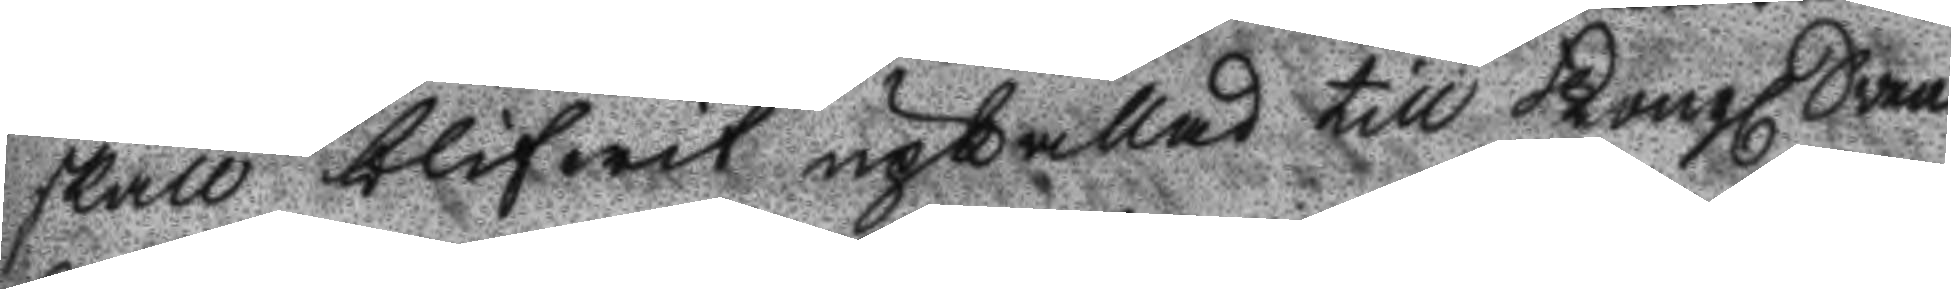skall blifwit upkallad till Kongl Svea
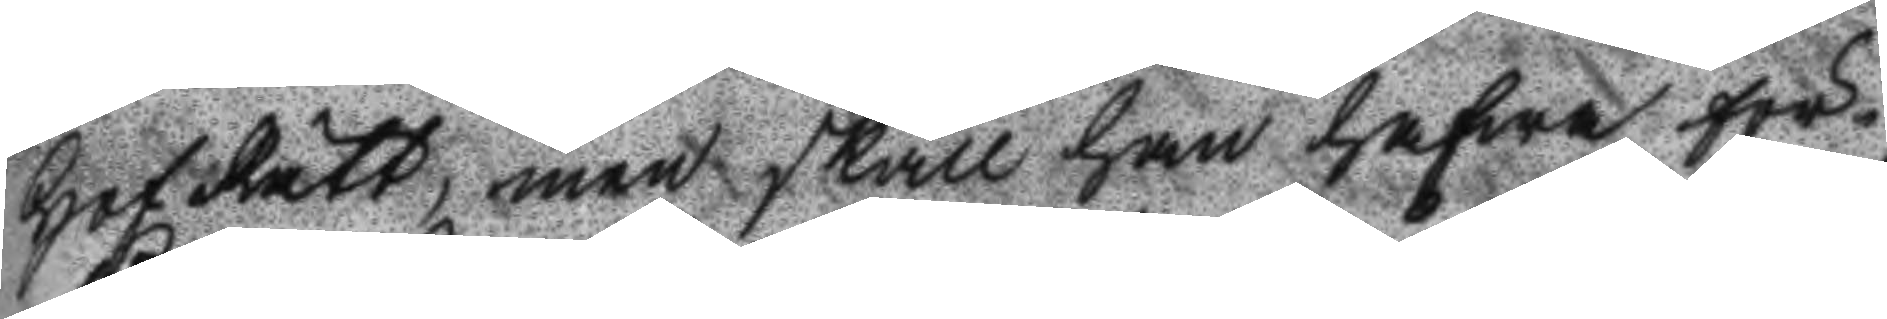Hof Rätt, men skall han hafwa för¬
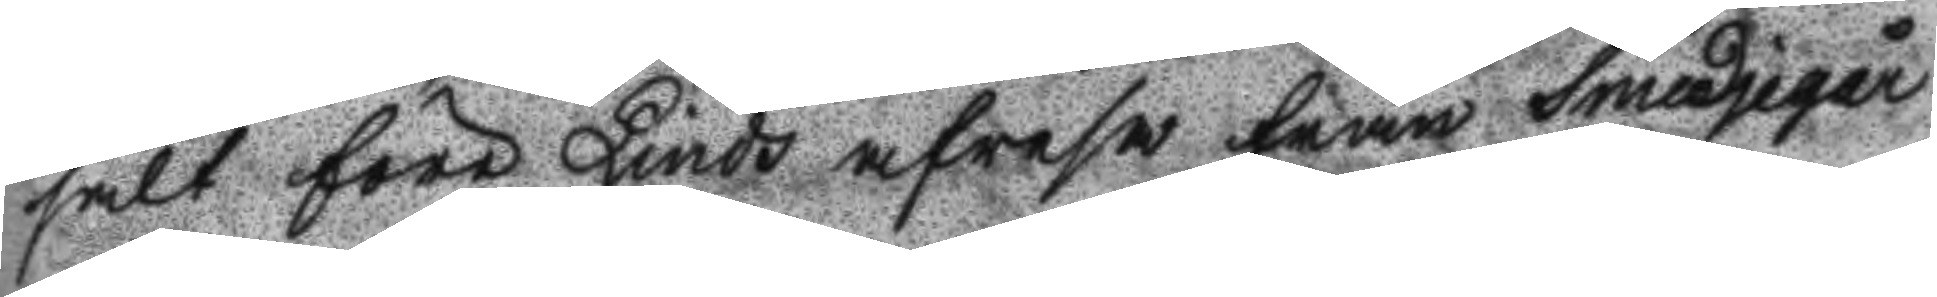sålt före Linds afresa från Smedjegår¬
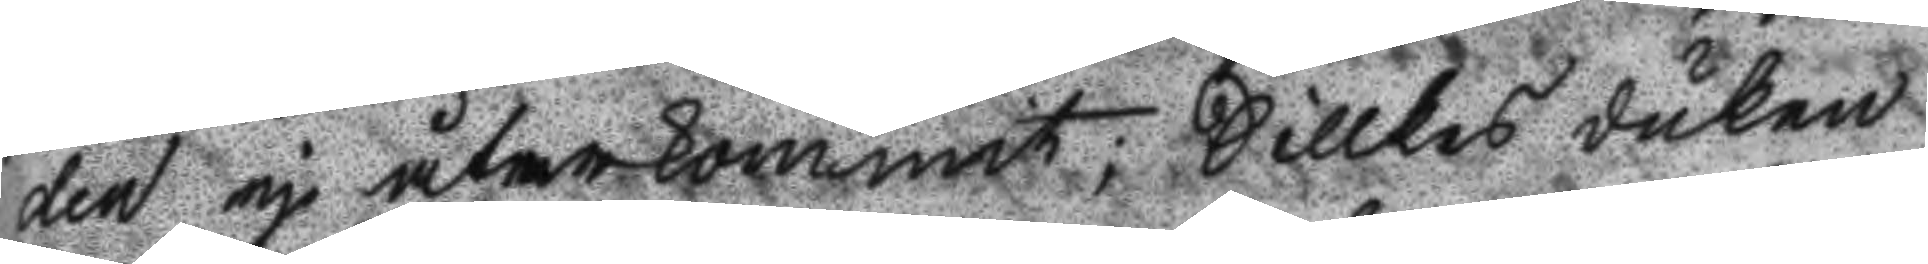den ej återkommit, Sillkes duken
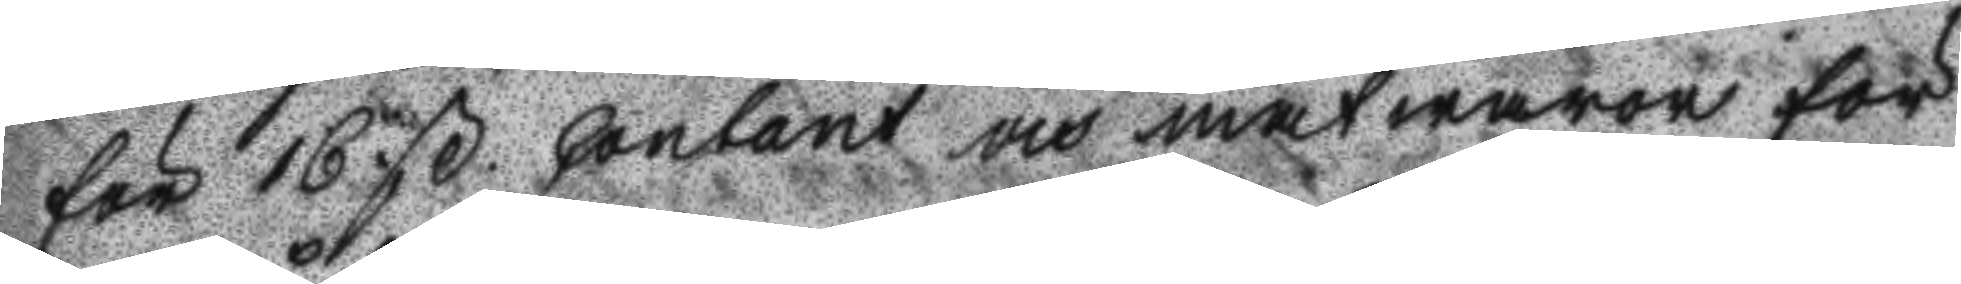för 16 ß Contant och matwaror för
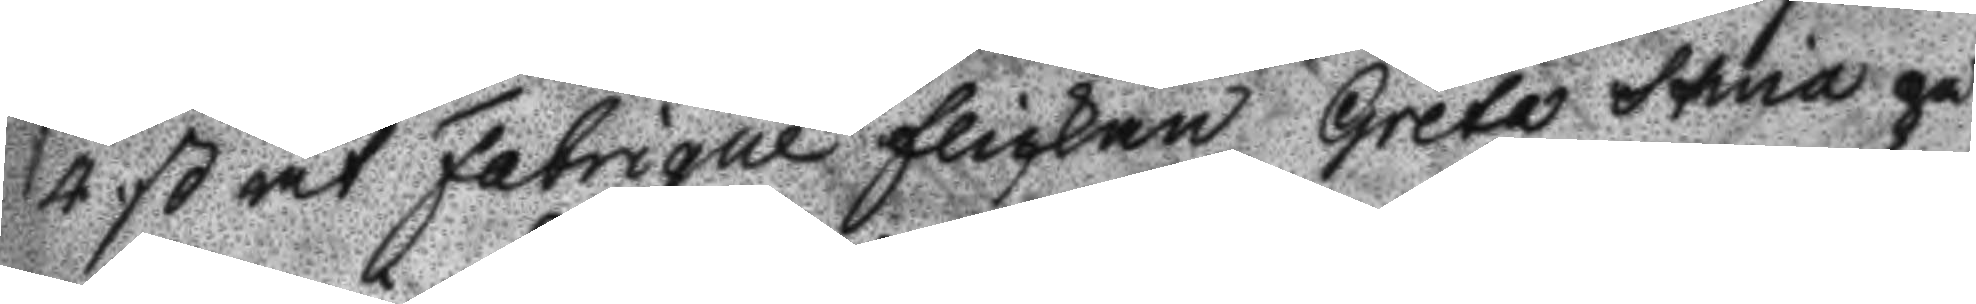4 ß åt Fabrique flickan Greta Stina på
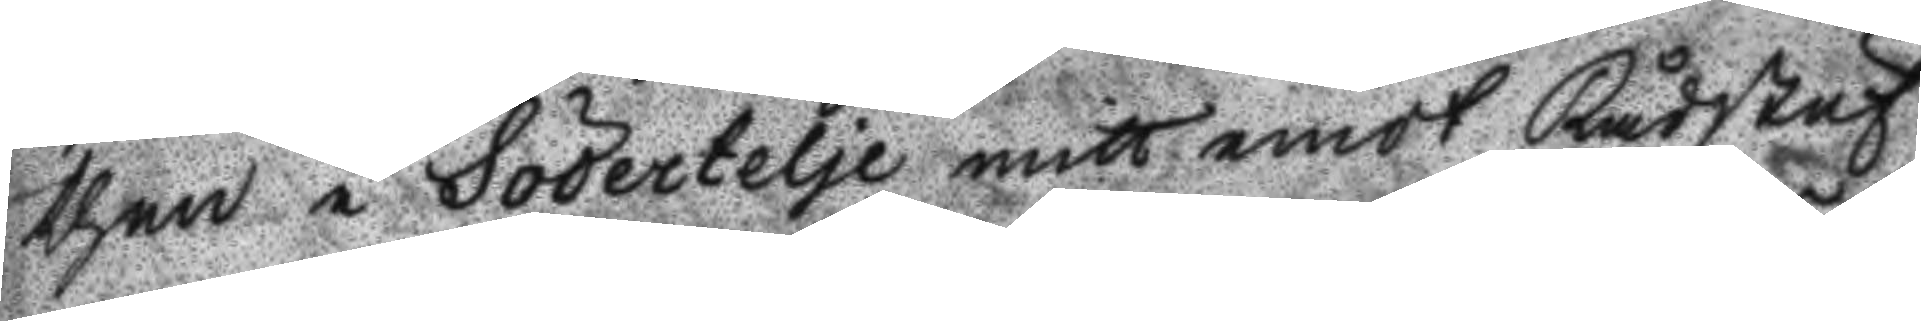then i Södertelje mitt emot Rådstuf
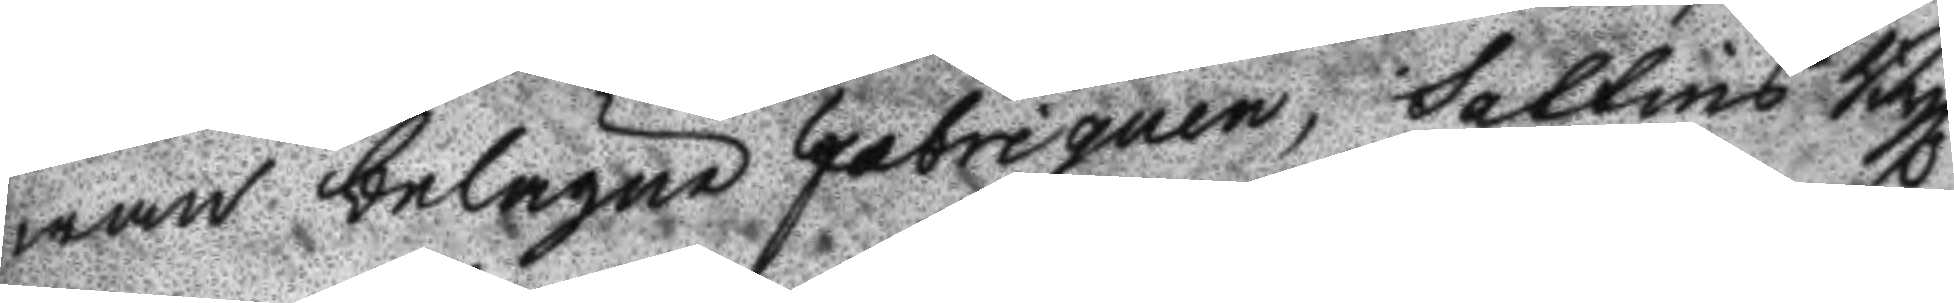wan belägne Fabriquen, Sattins Byx
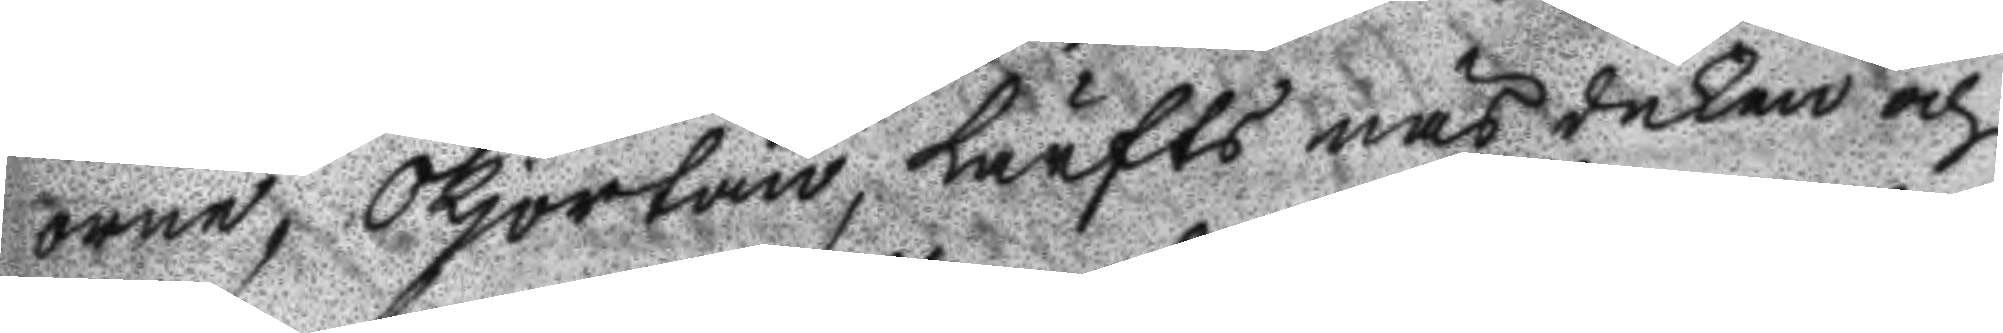orne, Skjortan, Lärfts näsduken och
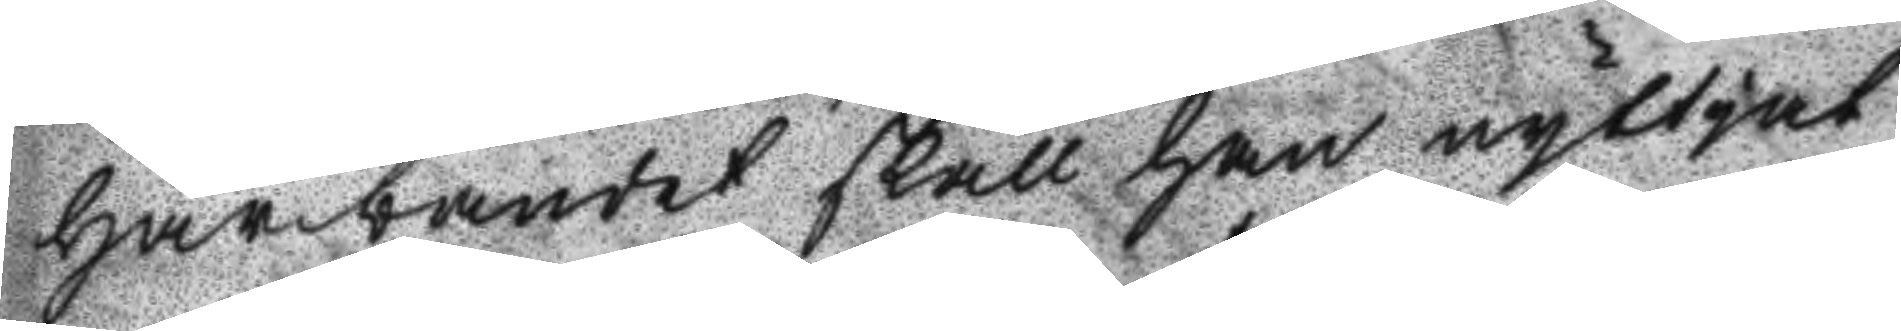Hårbandet skall han nyttjat
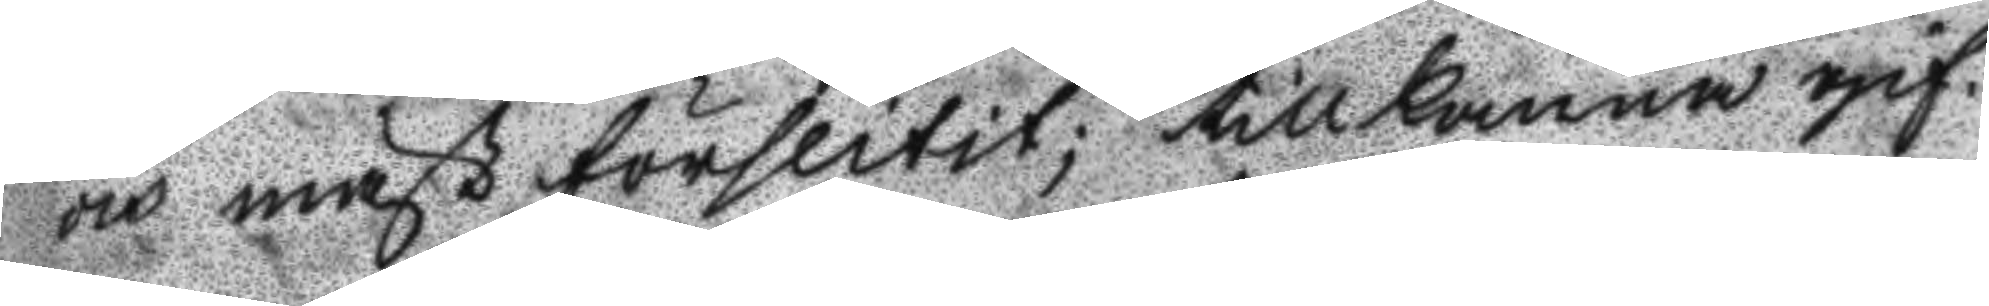och mäst förslitit; tillkänna gif¬
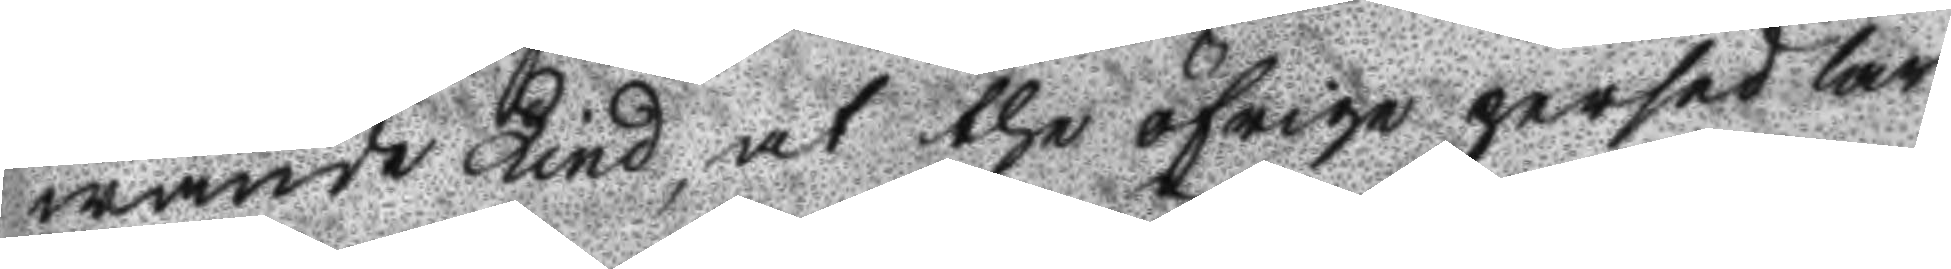wande Lind, at the öfrige persedlar
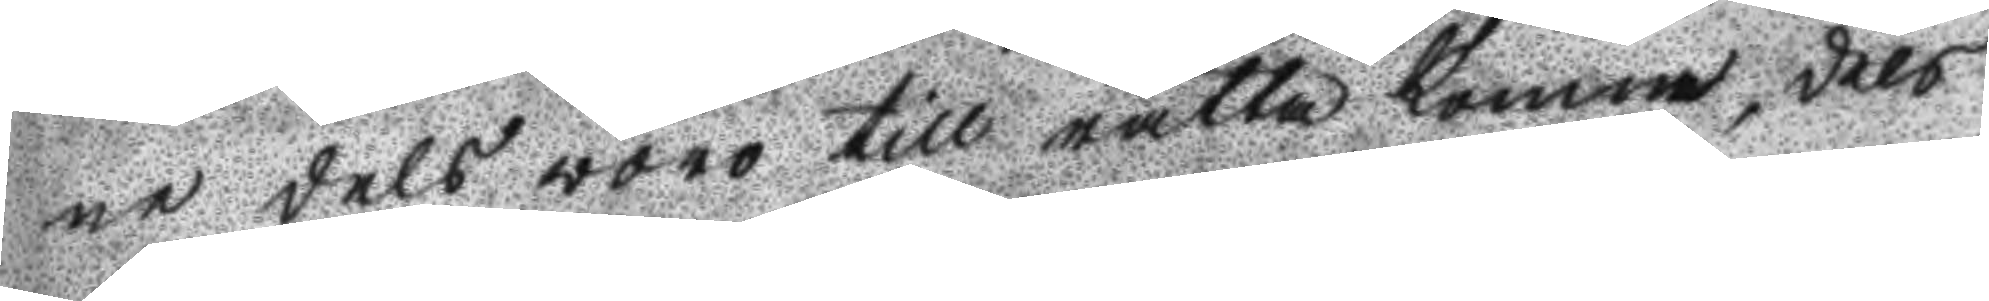ne dels woro till rätta komna, dels
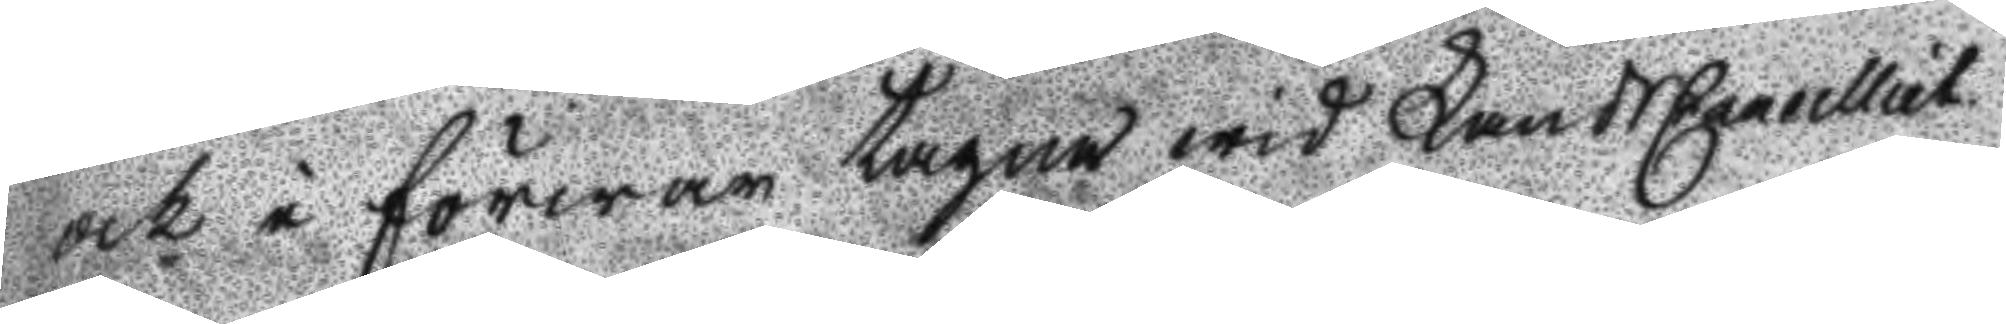och i förwar tagna wid LandsCaneclliet.
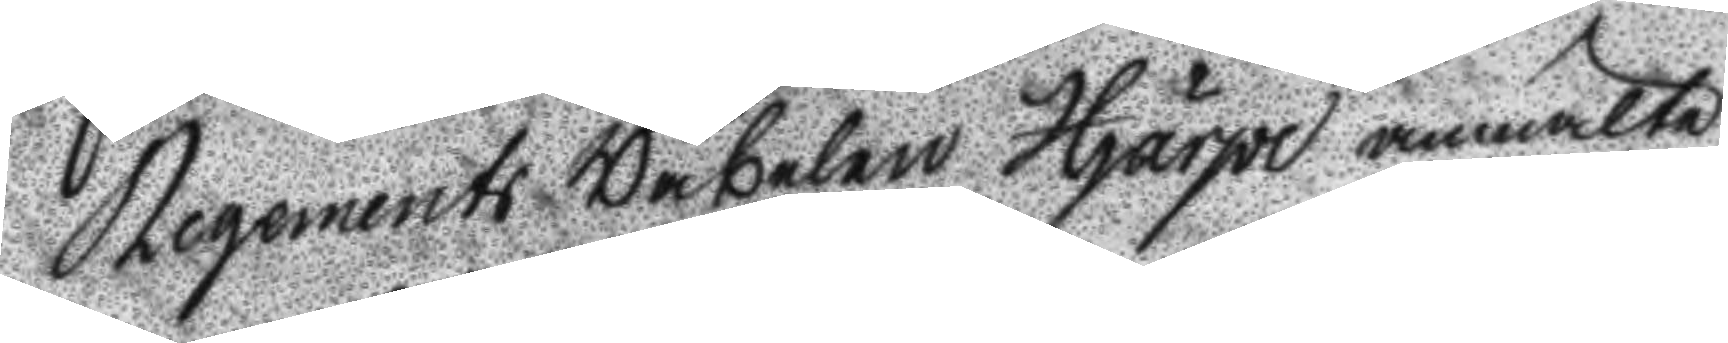Regemnets Wäbelen Hjärpe anmälte
